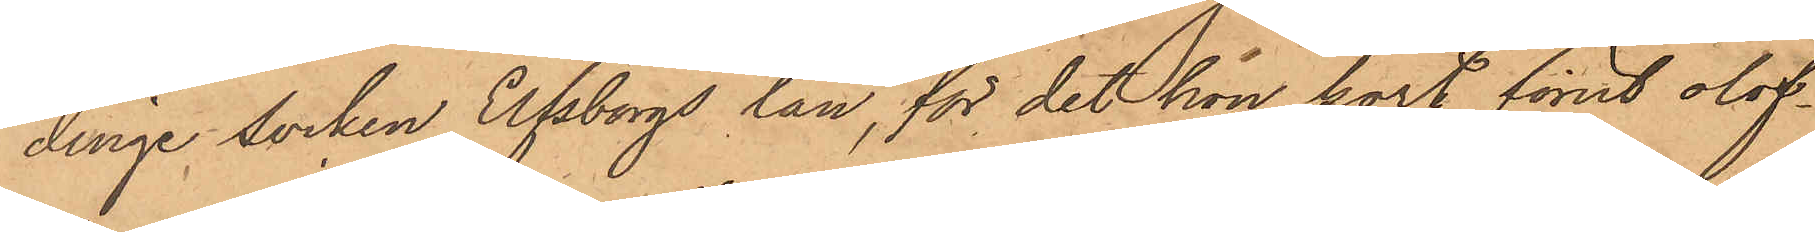dinge socken Elfsborgs län, för det hon kort förut olof¬
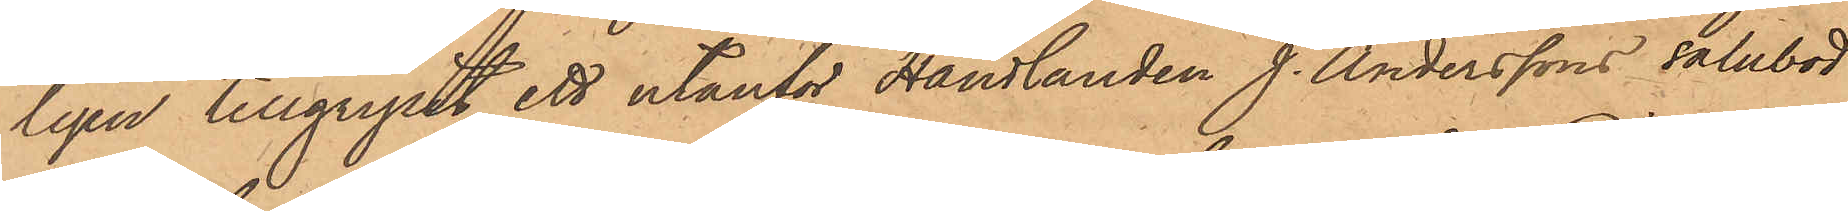ligen tillgripit ett utanför Handlanden J. Anderssons salubod
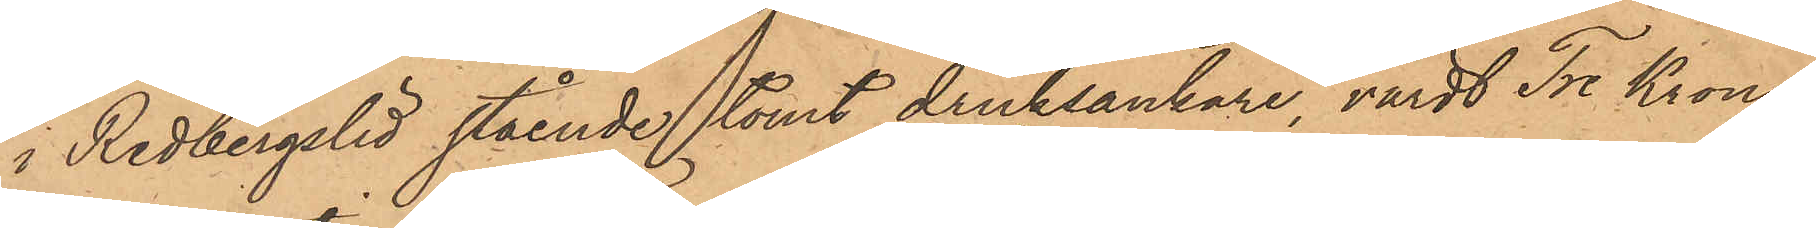i Redbergslid stående tomt dricksankare, värdt Tre Kronor
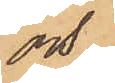och
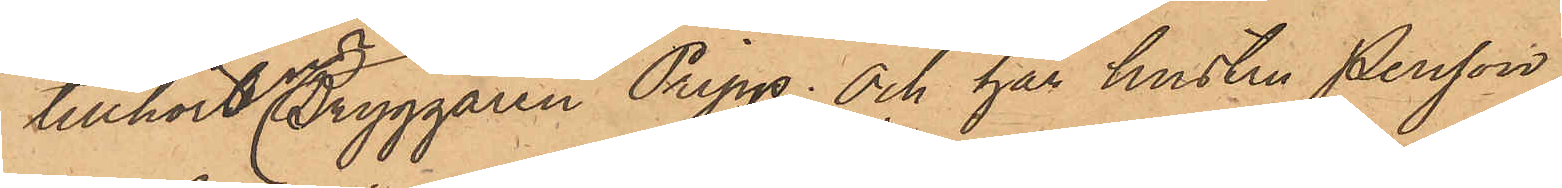tillhört Bryggaren Pripp; och har hustru Persson
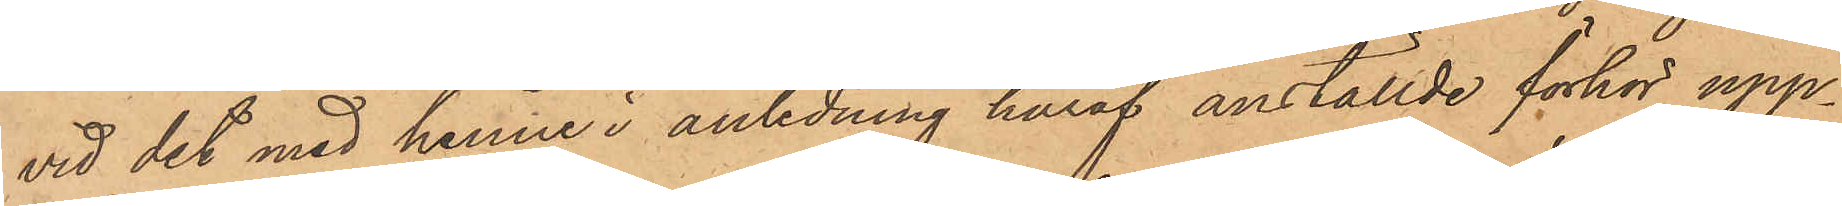vid det med henne i anledning häraf anställde förhör upp¬
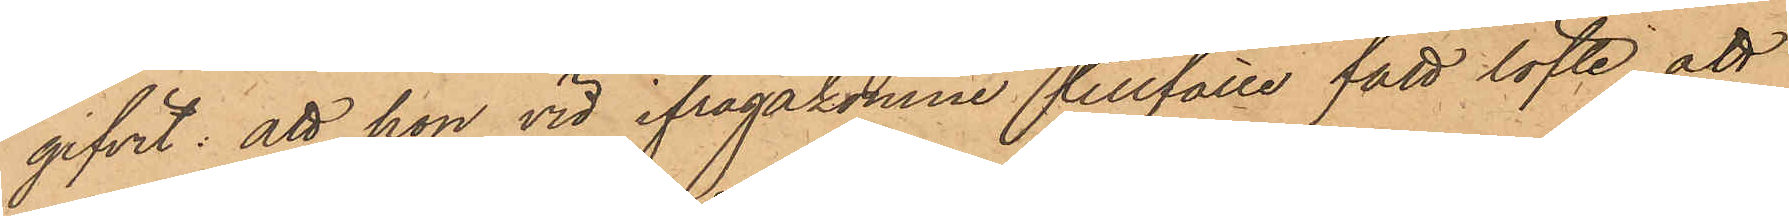gifvit: att hon vid ifrågakomne tillfälle fått löfte att
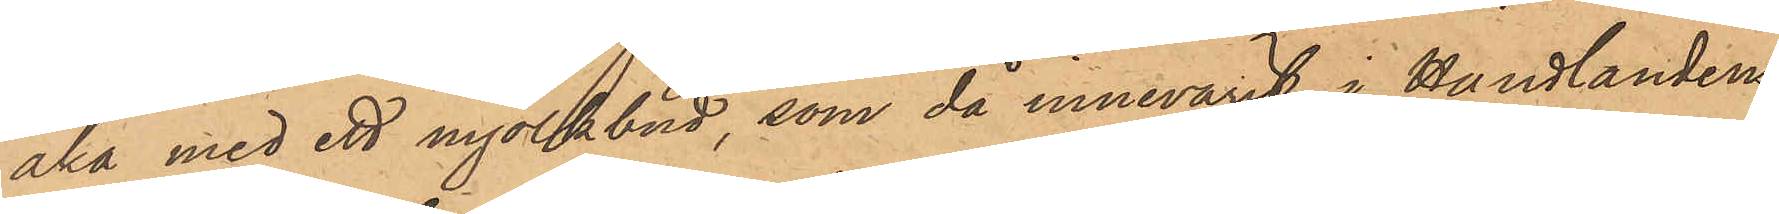åka med ett mjölkbud, som då innevarit i Handlanden
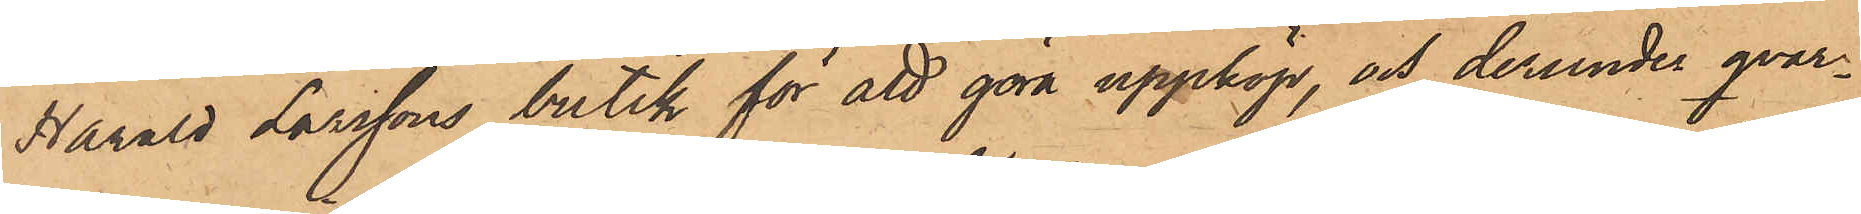Harald Larssons butik för att göra uppköp, och derunder qvar¬
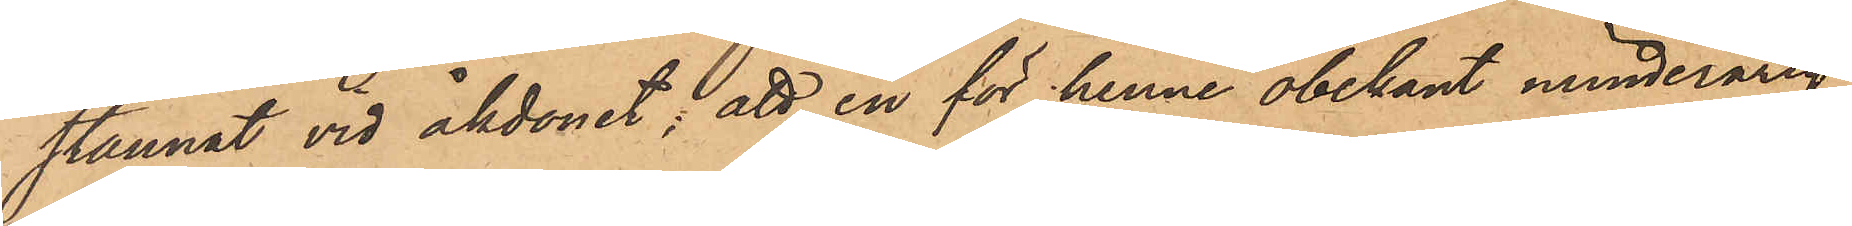stannat vid åkdonet; att en för henne obekant minderårig
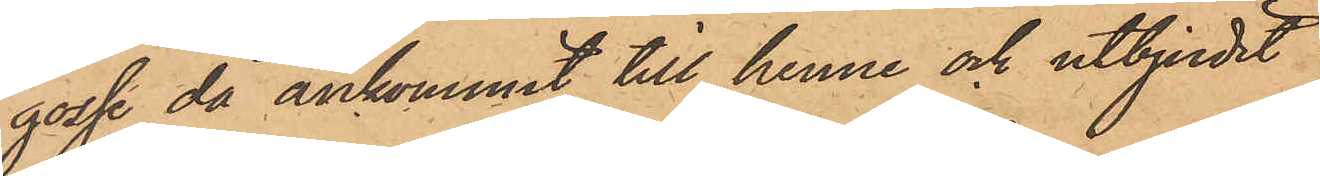gosse då ankommit till henne och utbjudit
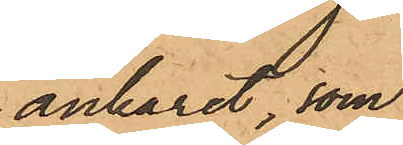ankaret, som
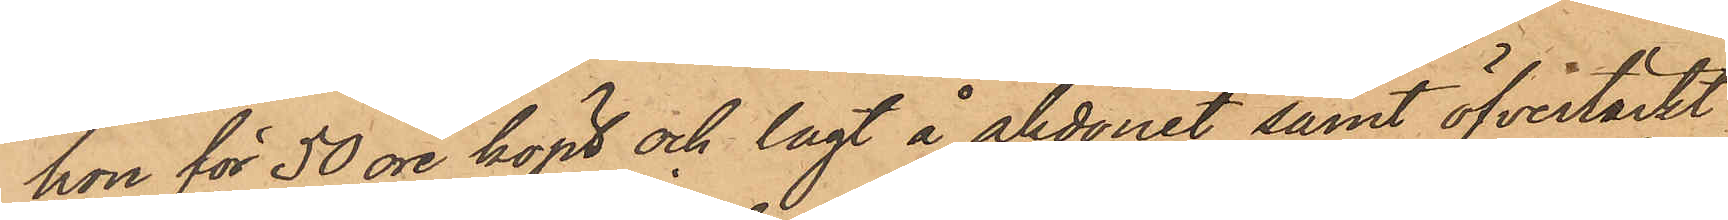hon för 50 öre köpt och lagt å åkdonet samt öfvertäckt
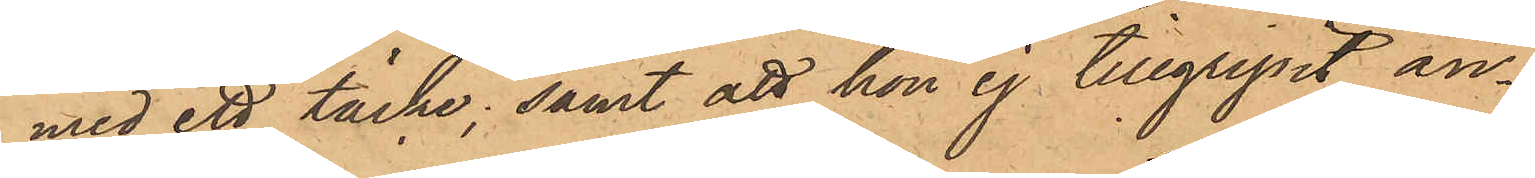med ett täcke; samt att hon ej tillgripit an¬
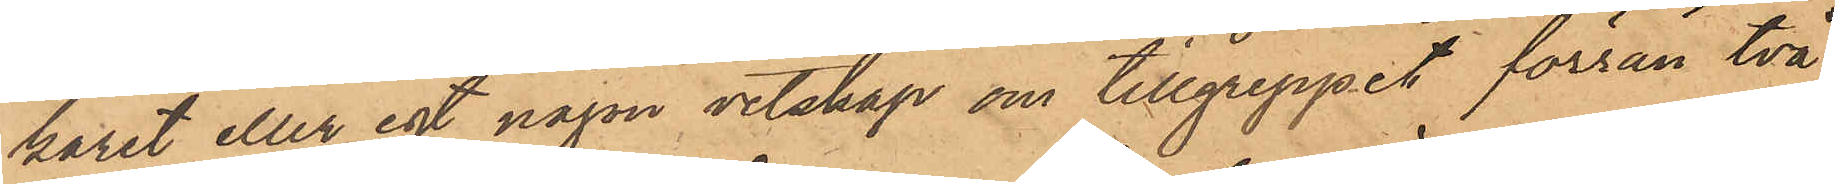karet eller egt någon vetskap om tillgreppet förrän två
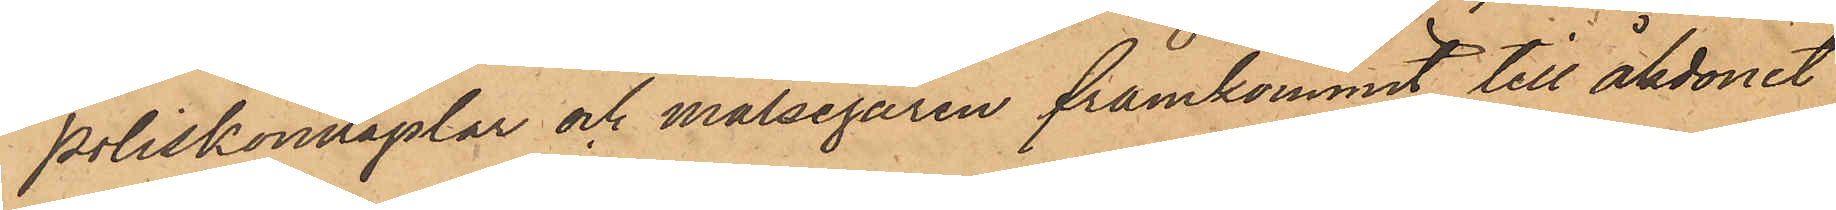poliskontaplar och målsegaren framkommit till åkdonet
